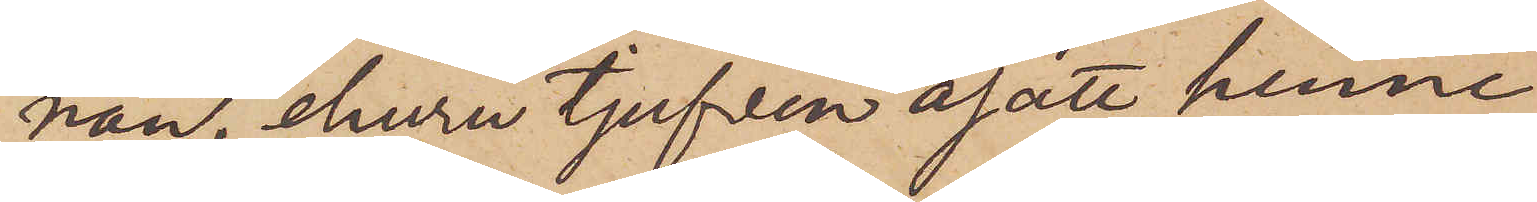nan, ehuru tjufven åsatt henne
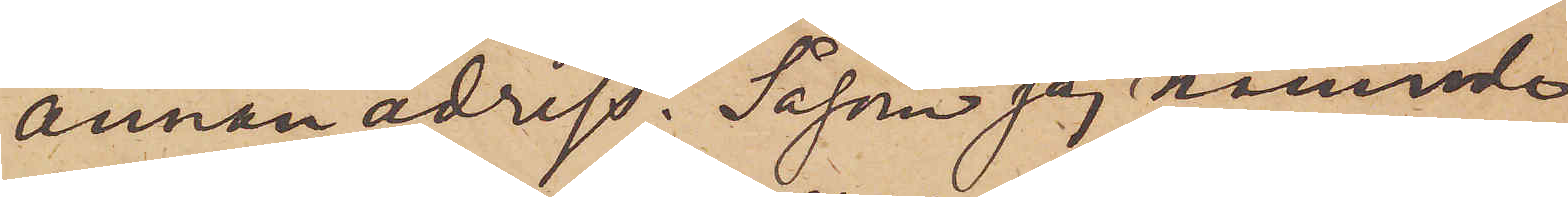annan adress. Såsom jag nämnde
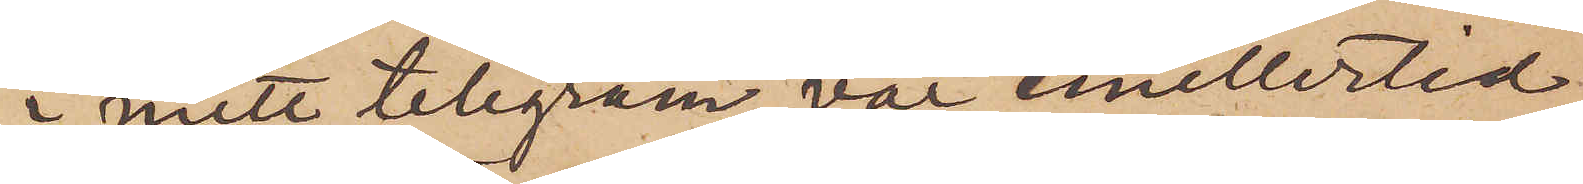i mitt telegram var emellertid
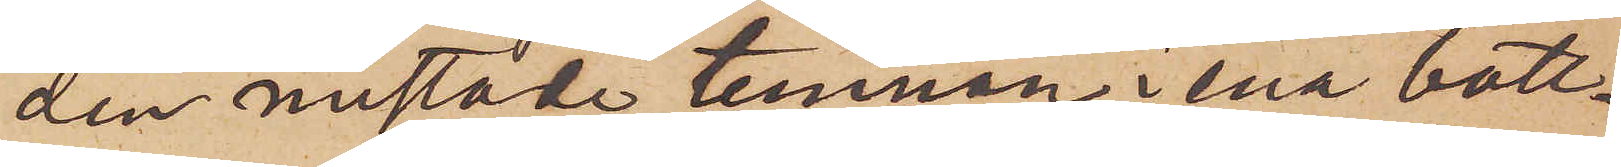den mistade tunnan i ena bott¬
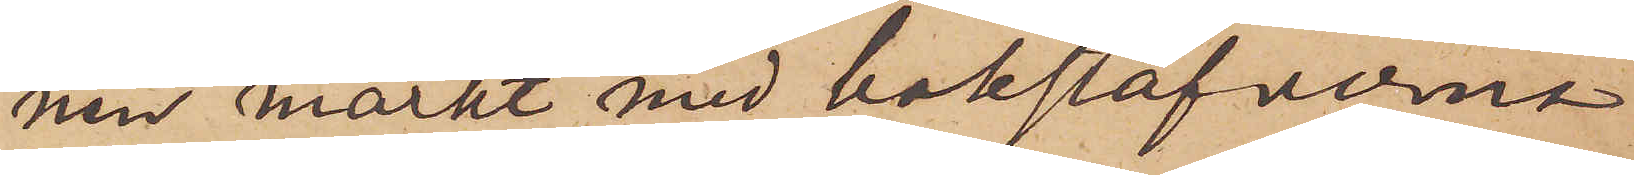nen märkt med bokstäfverna
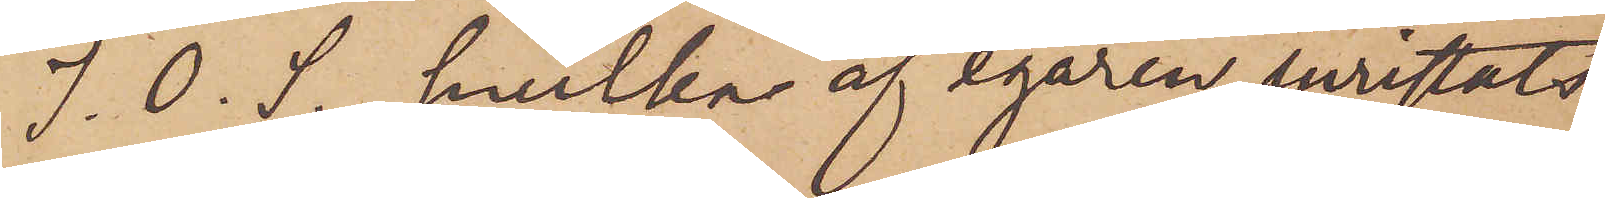J. O. S., hvilka af egaren inristats
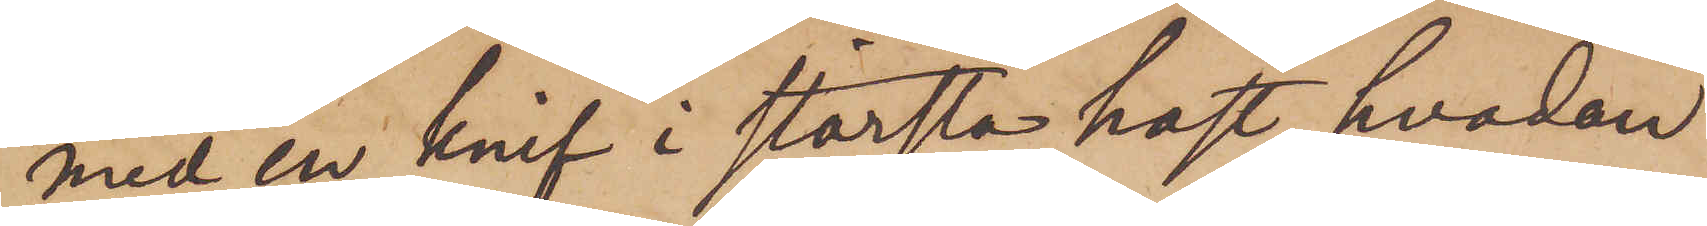med en knif i största hast, hvadan
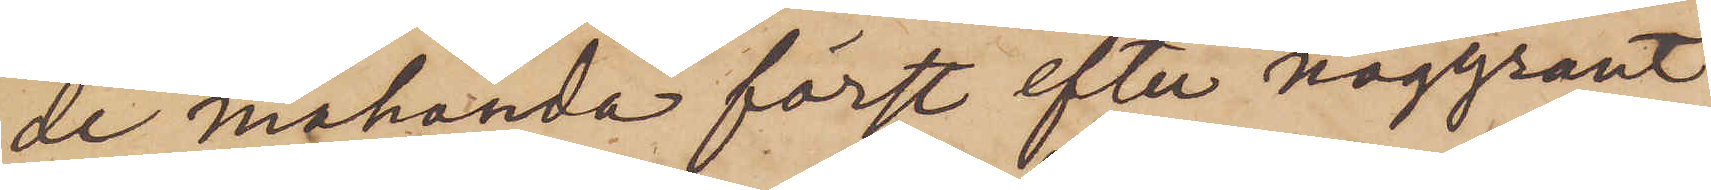de måhända först efter noggrant
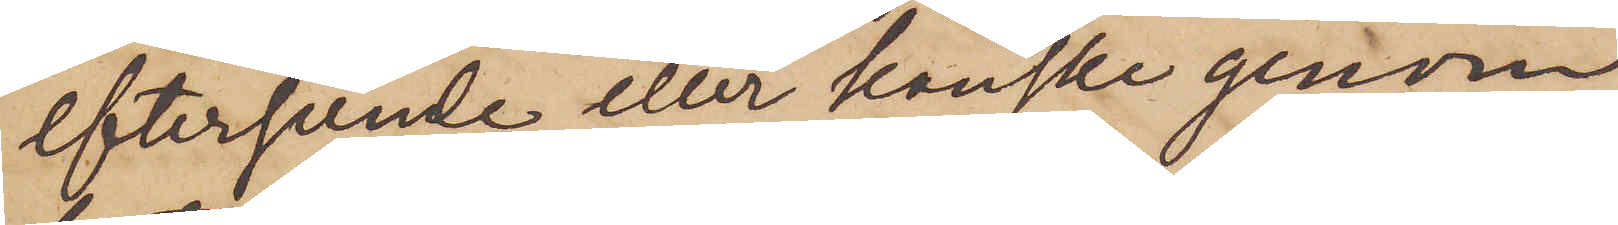eftersende eller kanske genom
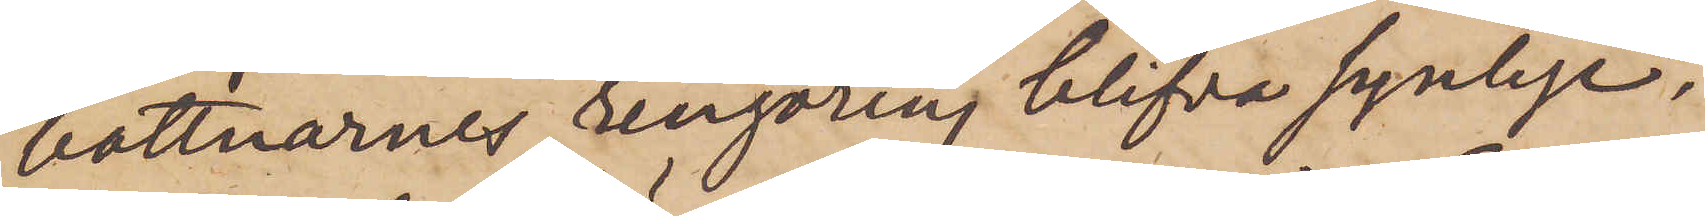bottnarnes rengöring blifva synlige.
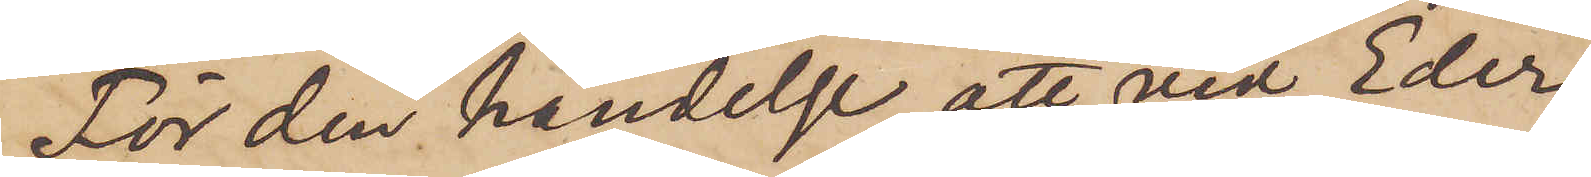För den händelse att vid Eder
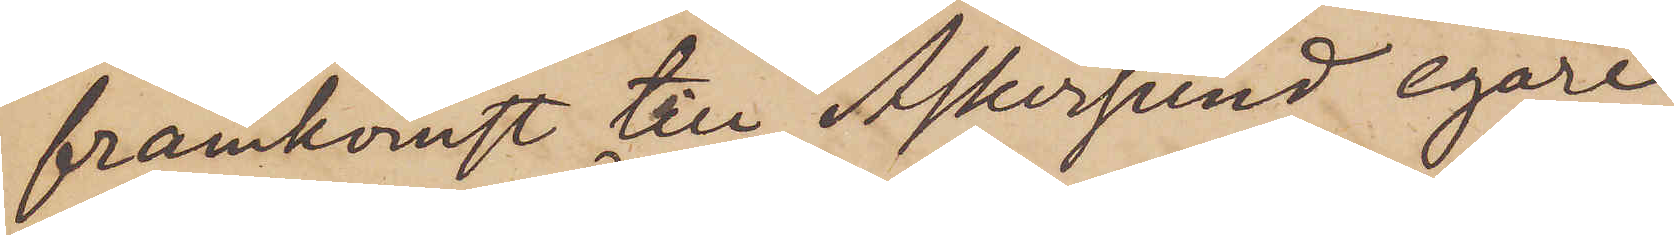framkomst till Askersund egare
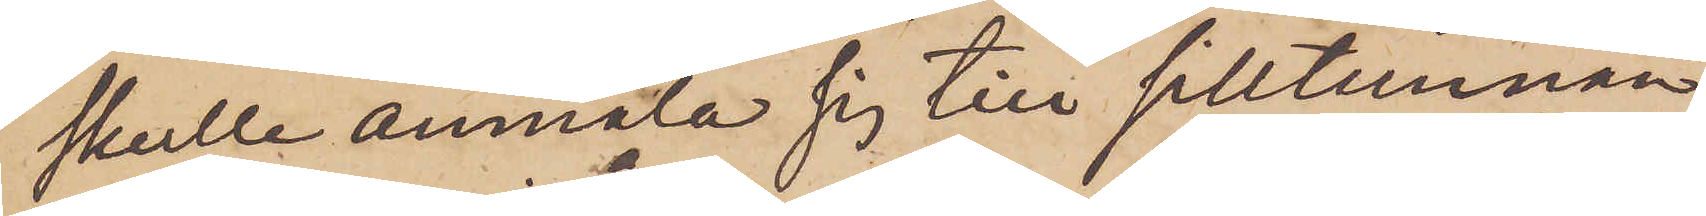skulle anmäla sig till silltunnan
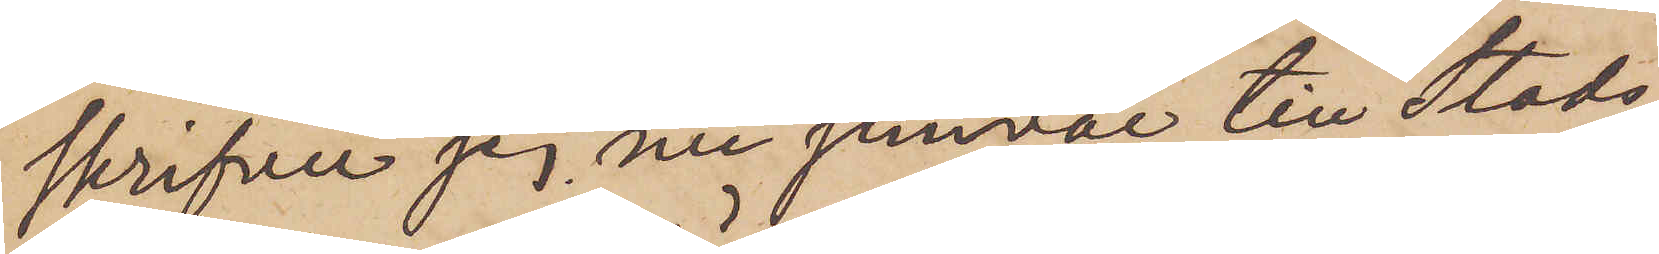skrifver jag nu jemväl till Stads¬
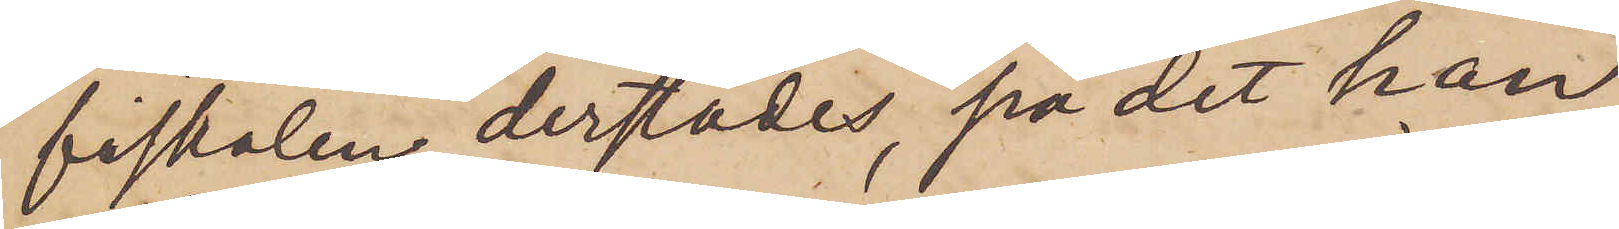fiskalen derstädes, på det han
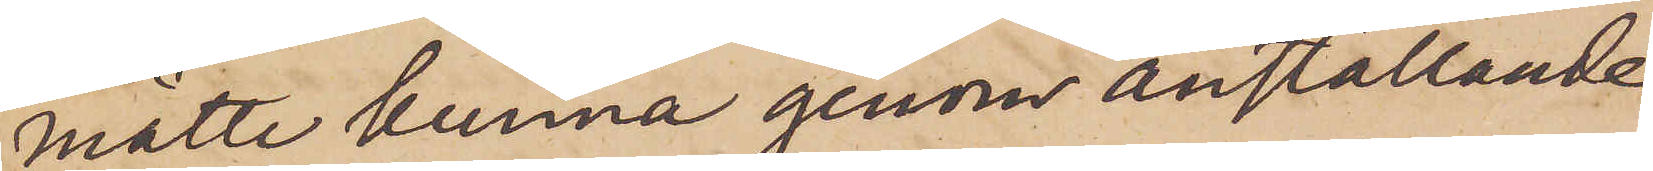måtte kunna genom anställande
